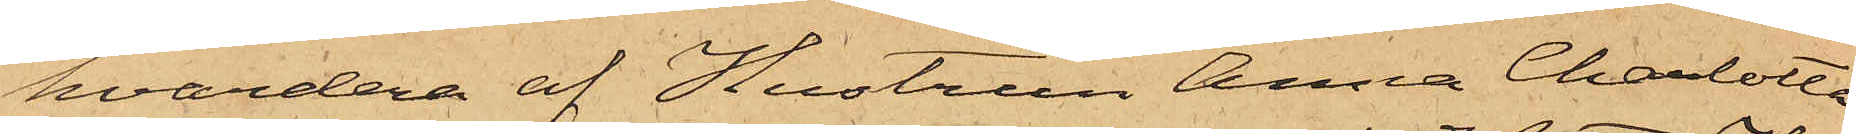hvardera af Hustrun Anna Charlotta
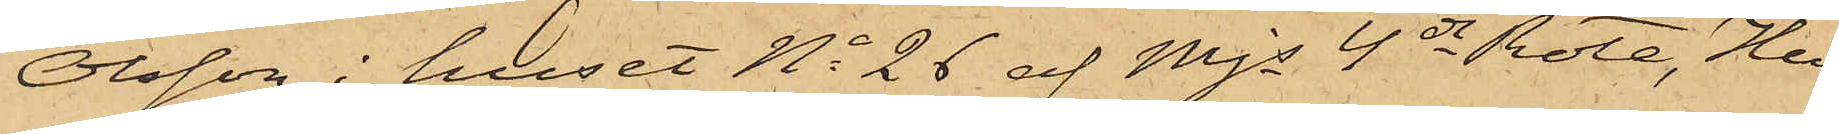Olsson i huset No 26 af Mjs 4de Rote, Hu¬
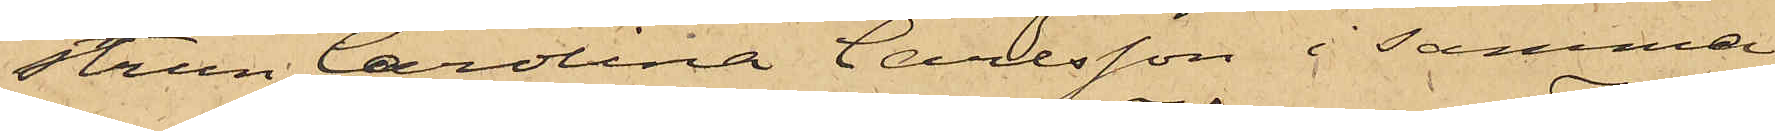strun Carolina Carlsson i samma
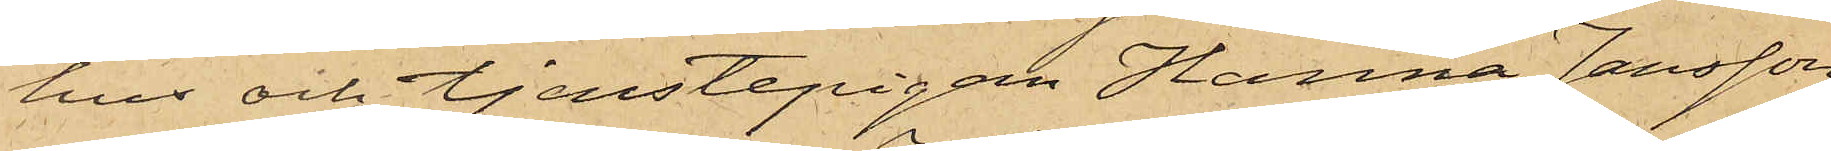hus och tjenstepigan Hanna Jansson
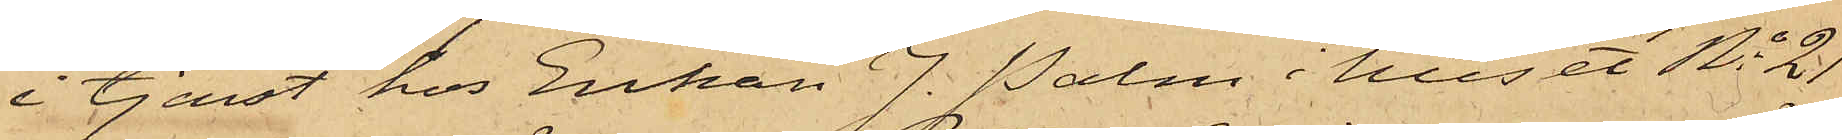i tjenst hos Enkan J. Palm i huset No 21
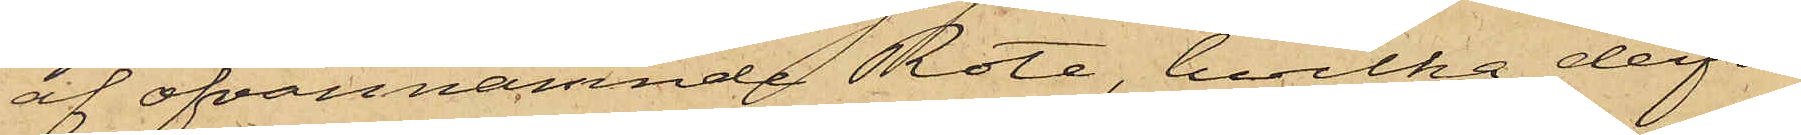af ofvannämnde Rote, hvilka derför
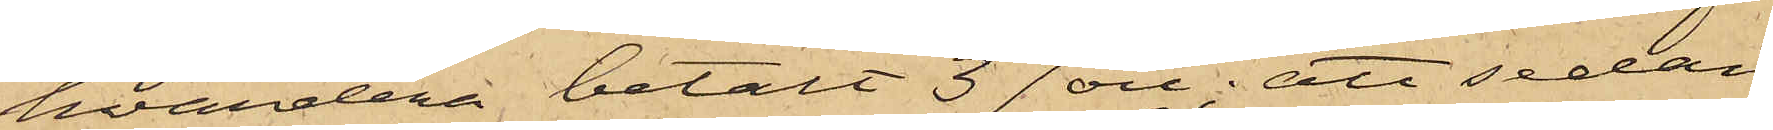hvardera betalt 37 öre; att sedan
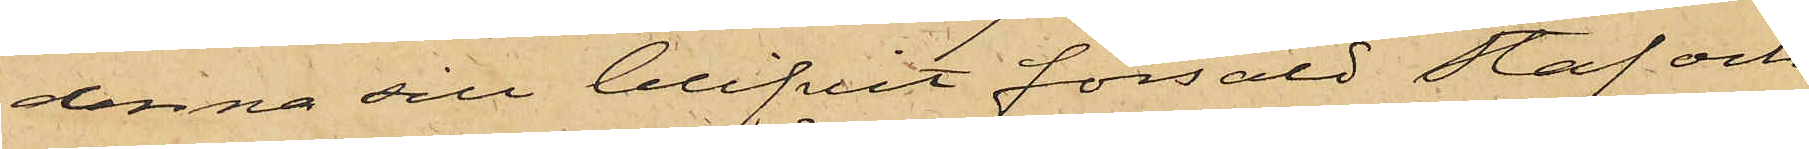denna sill blifvit försåld Staf och
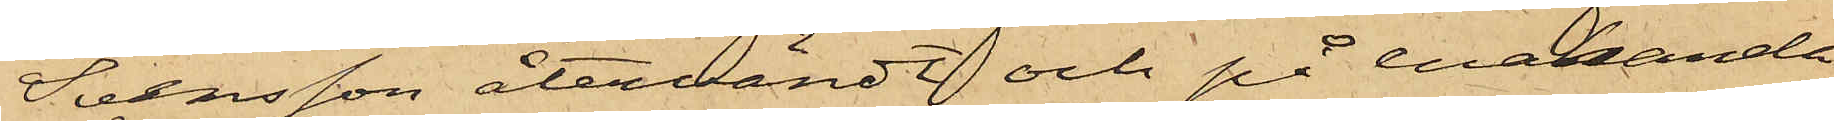Svensson återvändt och på enahanda
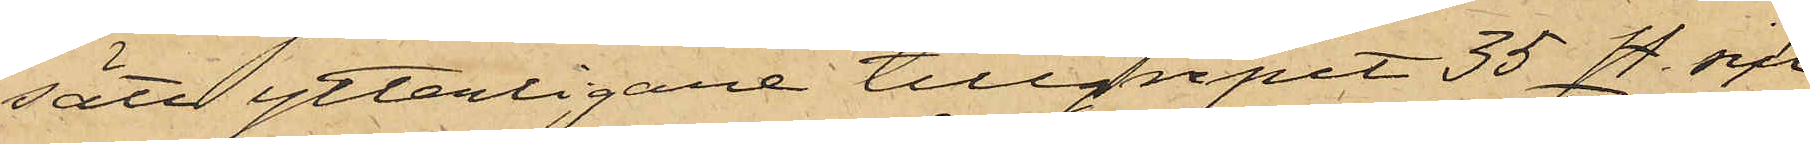sätt ytterligare tillgripit 35 st. sill,
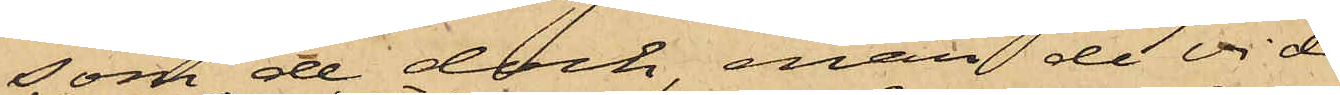som de dock, enär de vid
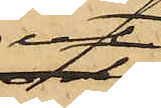ut¬
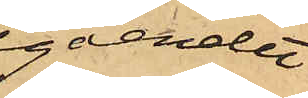gåendet
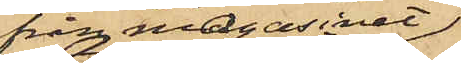från magasinet
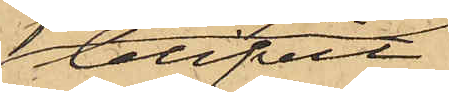blifvit
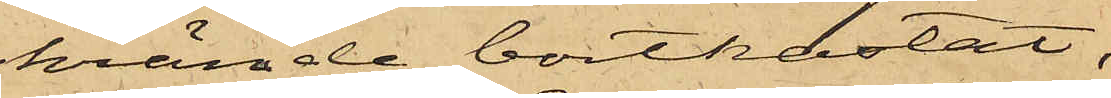skrämde bortkastat;
